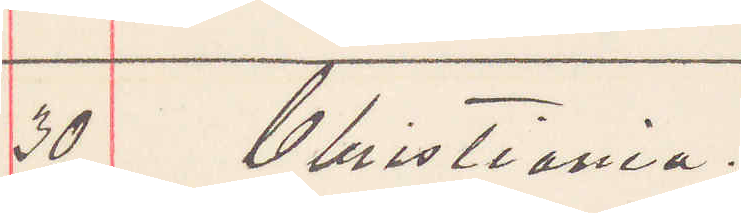30 Christiania.
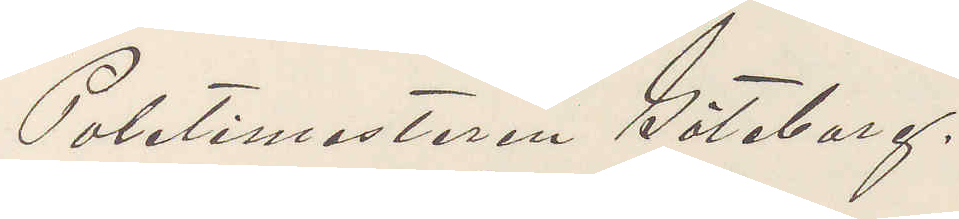Poletimesteren Göteborg.
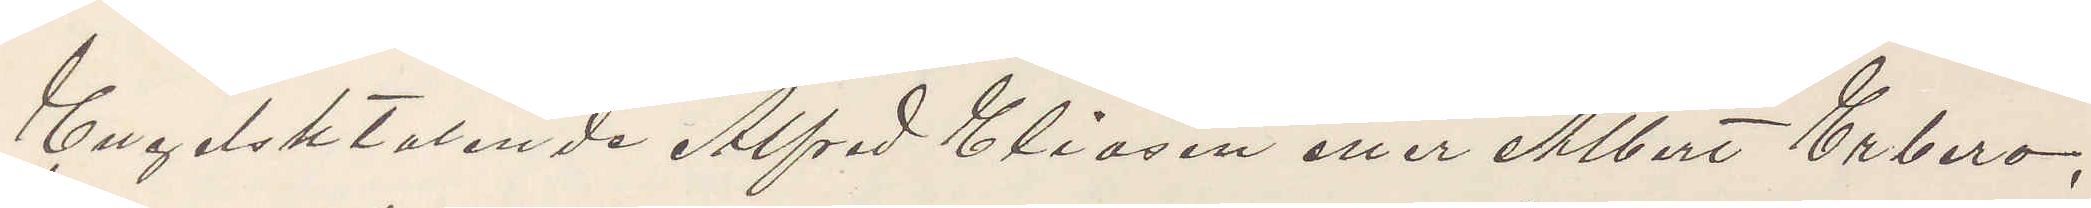Engelsktalande Alfred Eliasen eller Albert Erbero,
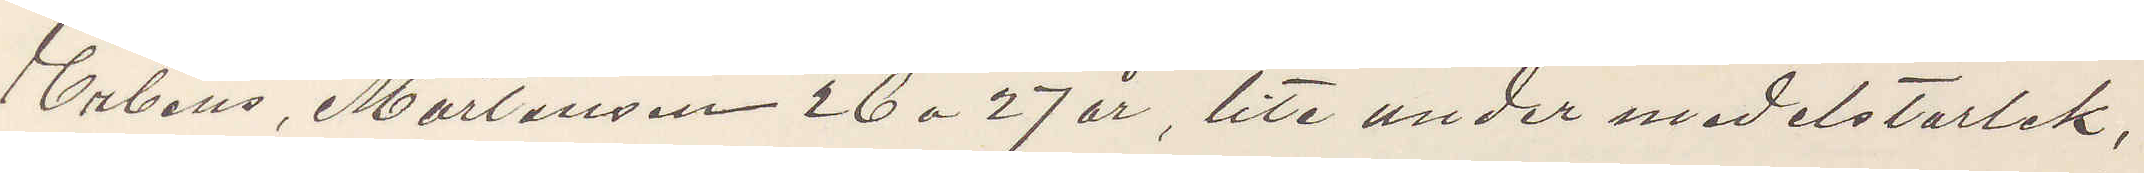Erbens, Mortensen 26 a 27 år, lite under medelstorlek,
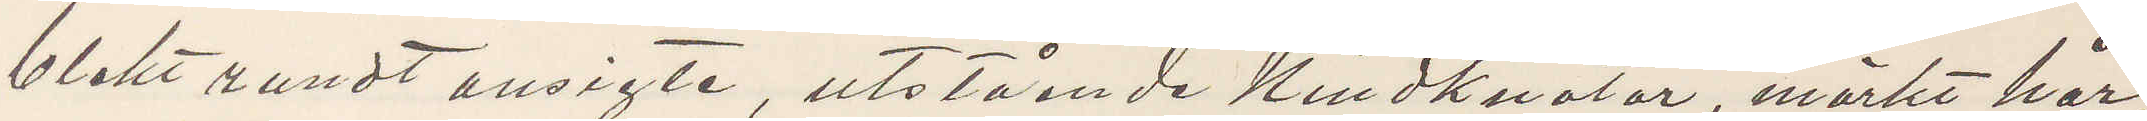blekt rundt ansigte, utstående kindknotor, mörkt hår,
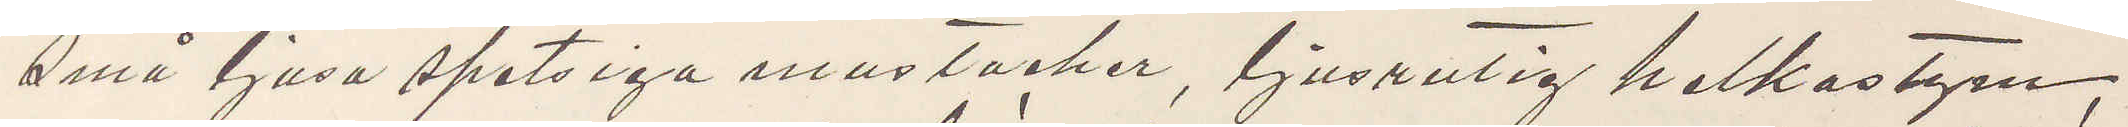små ljusa spetsiga mustacher, ljusrutig helkostym,
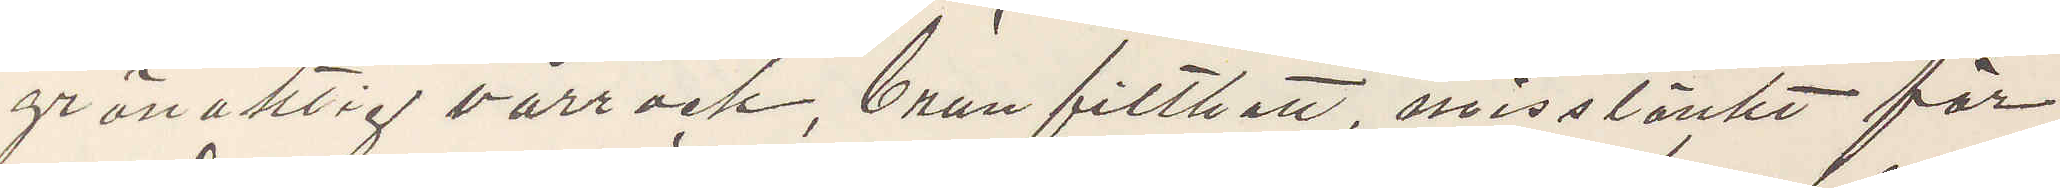grönaktig vårrock, brun filthatt, misstänkt för
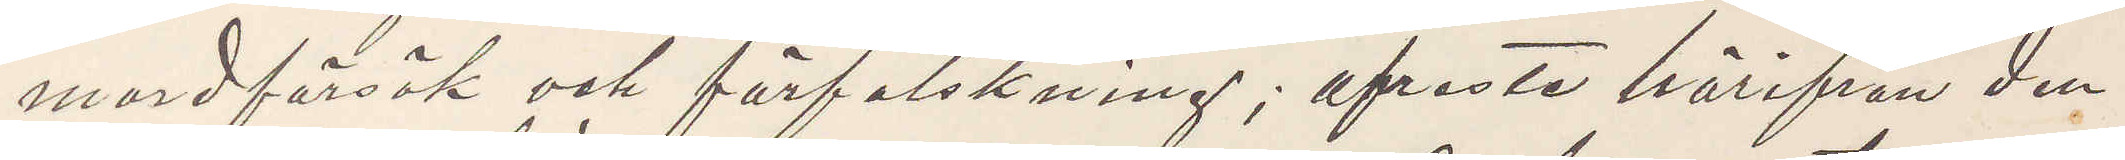mordförsök och förfalskning; afreste härifrån den
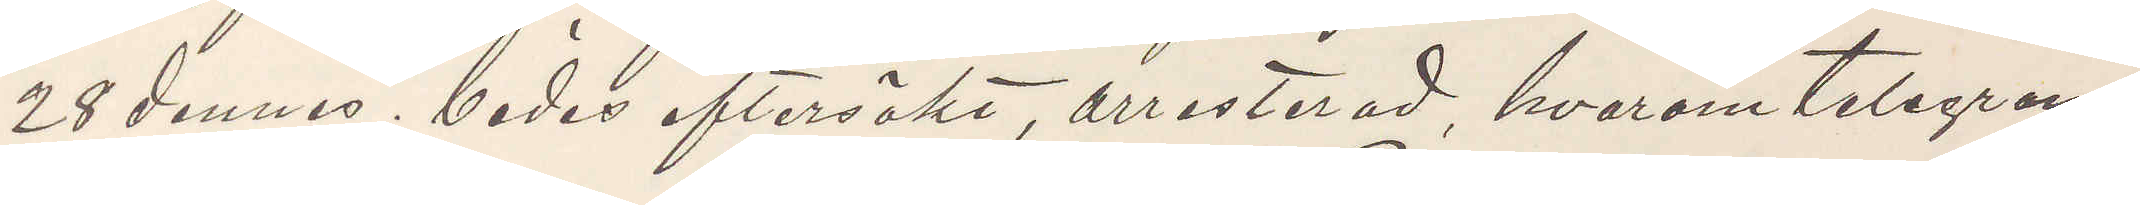28 dennes; bedes eftersökt, arresterad, hvarom telegram¬
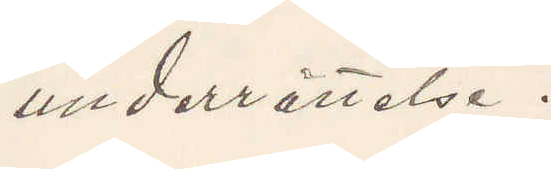underrättelse.
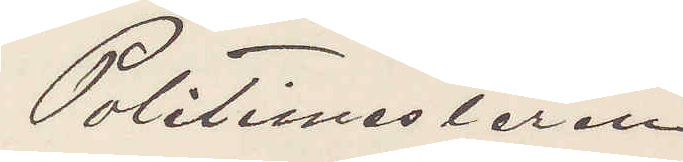Poletimesteren
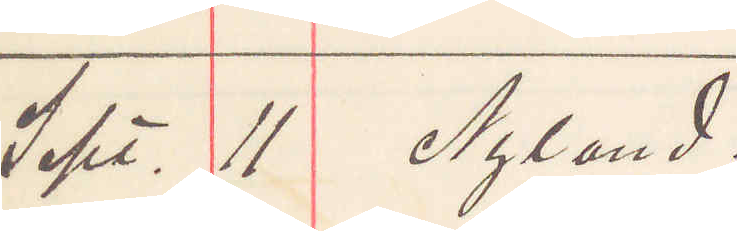Sept. 11 Nyland.
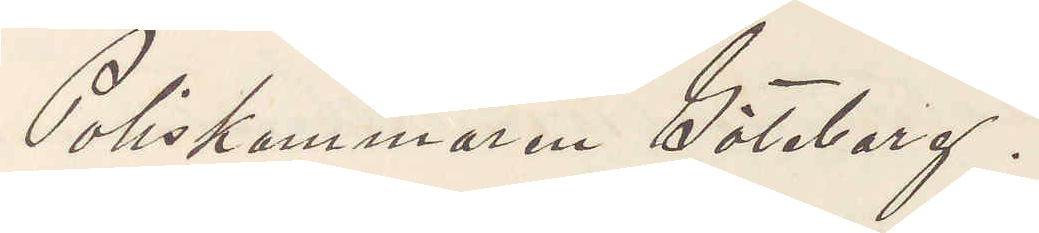Poliskammaren Göteborg.
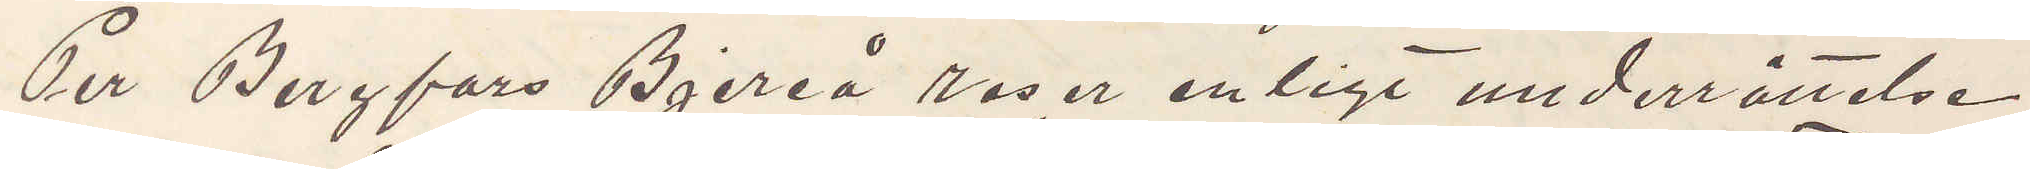Per Bergfors Bjereå reser enligt underrättelse
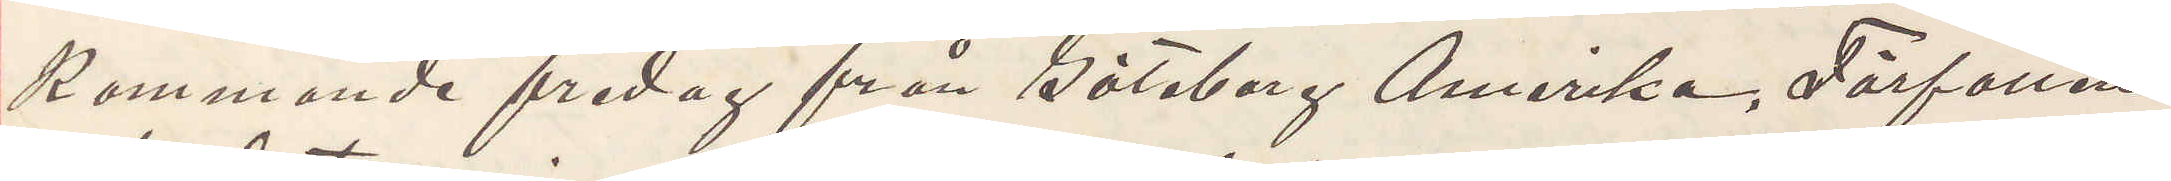kommande fredag från Göteborg Amerika. Förfallen
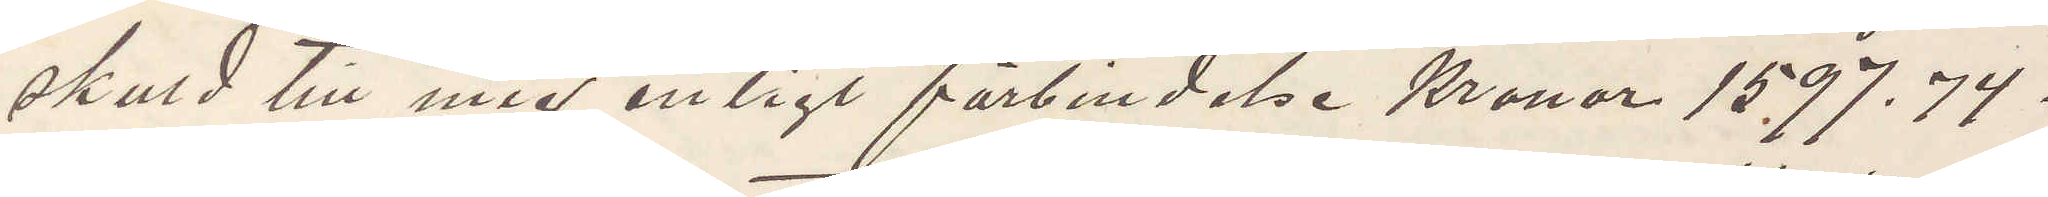skuld till mig enligt förbindelse Kronor 1597.74.
